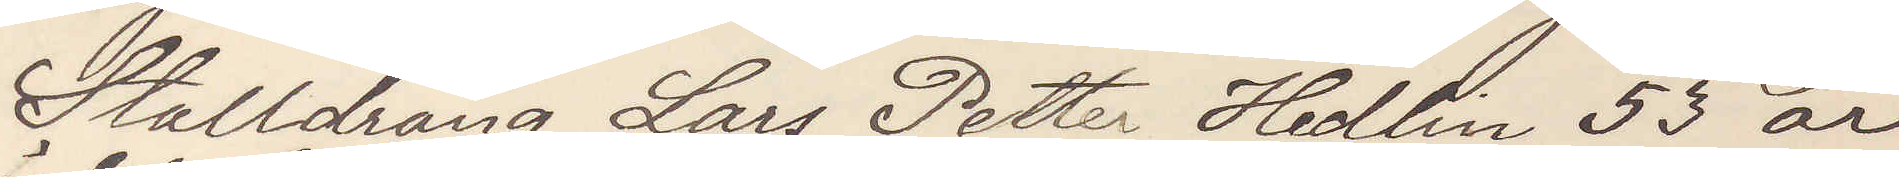Stalldräng Lars Petter Hedlin 53 år
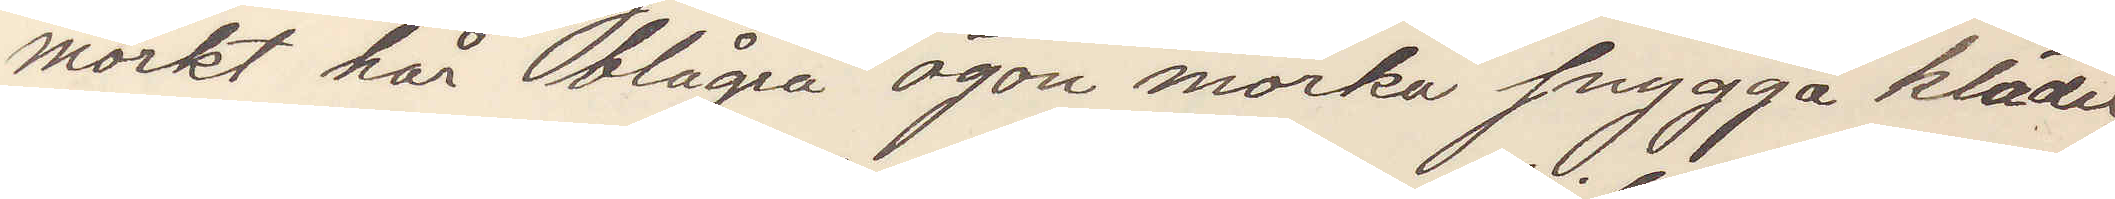mörkt hår blå ögon mörka snygga kläder,
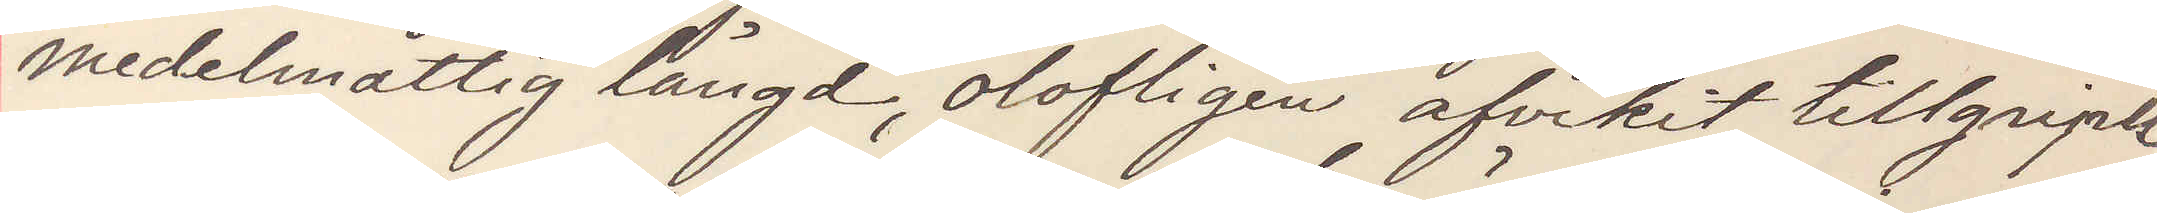medelmåttig längd, olofligen afvikit tillgripit
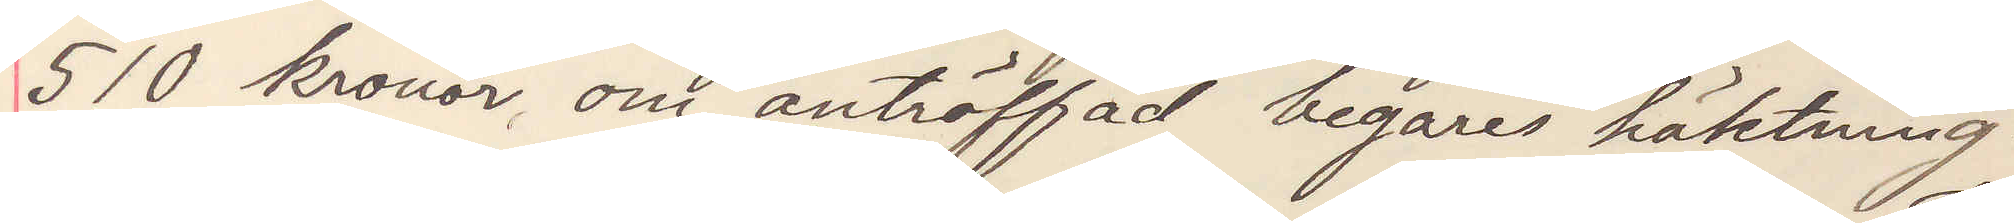510 kronor om anträffad begäres häktning.
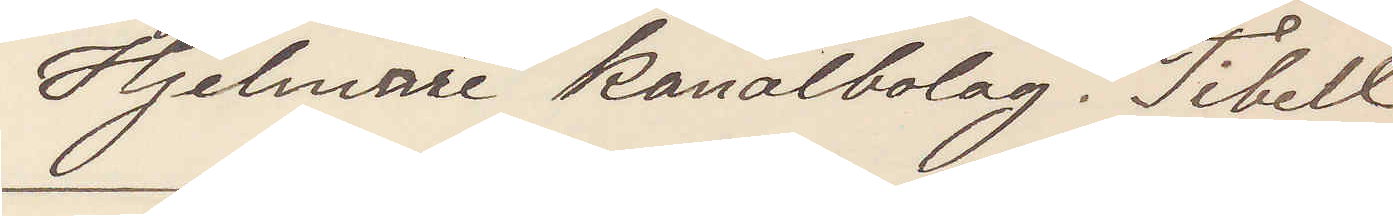Hjelmare kanalbolag. Tibell
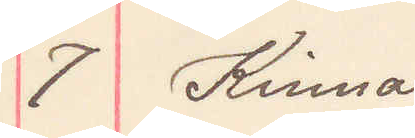7 Kinna.
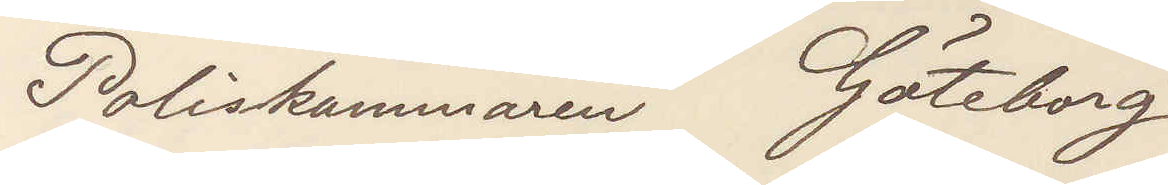Poliskammaren Göteborg
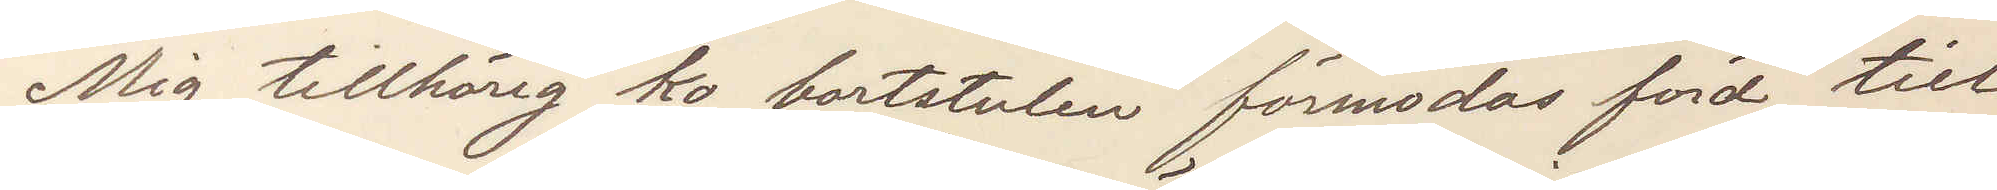Mig tillhörig ko bortstulen förmodas förd till
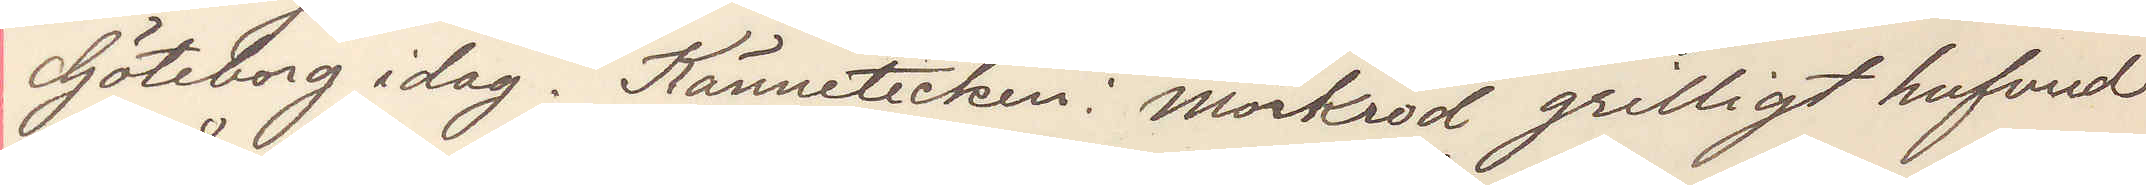Göteborg idag. Kännetecken: mörkröd grilligt hufvud
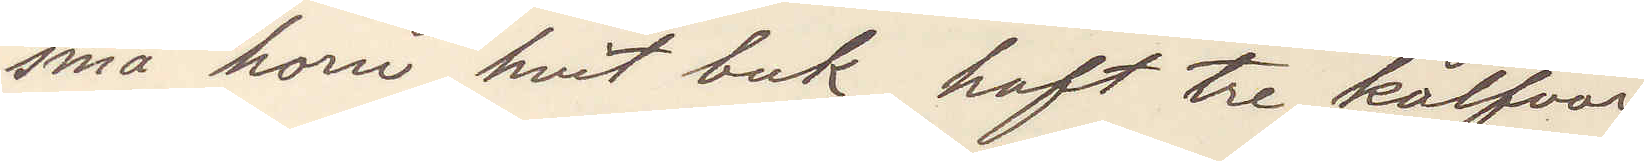små horn hvit buk haft tre kalfvar
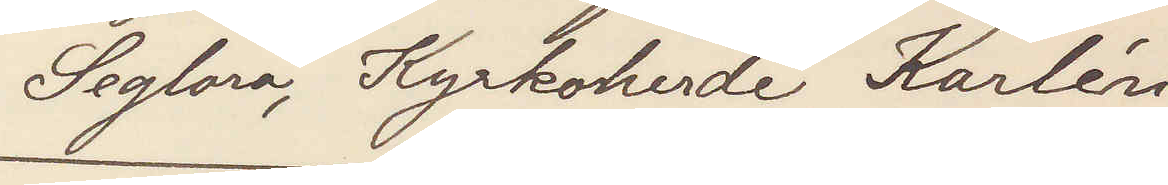Seglora, Kyrkoherde Karlén
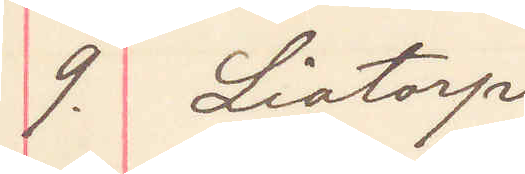9. Liatorp
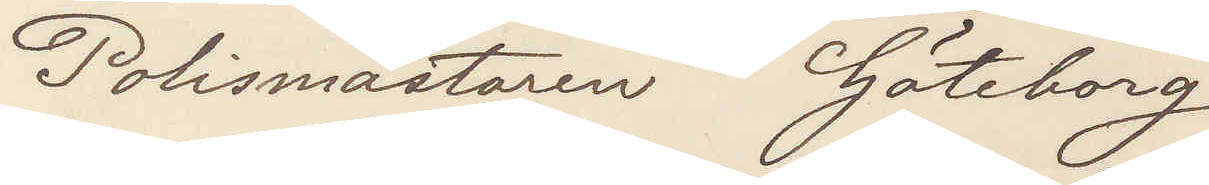Polismästaren Göteborg
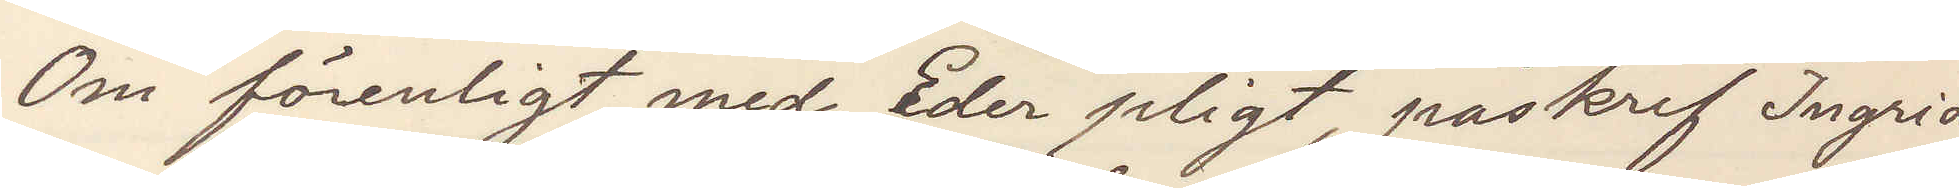Om förenligt med Eder pligt, påskrif Ingrid
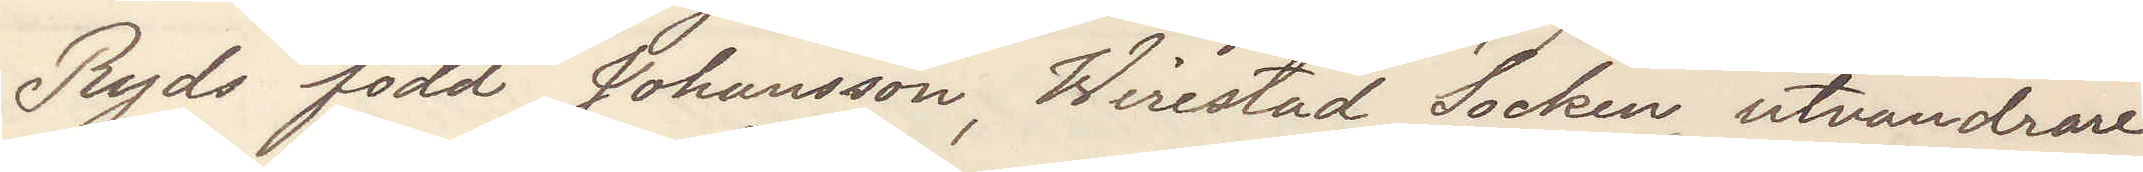Ryds född Johansson, Wirestad Socken, utvandrare¬
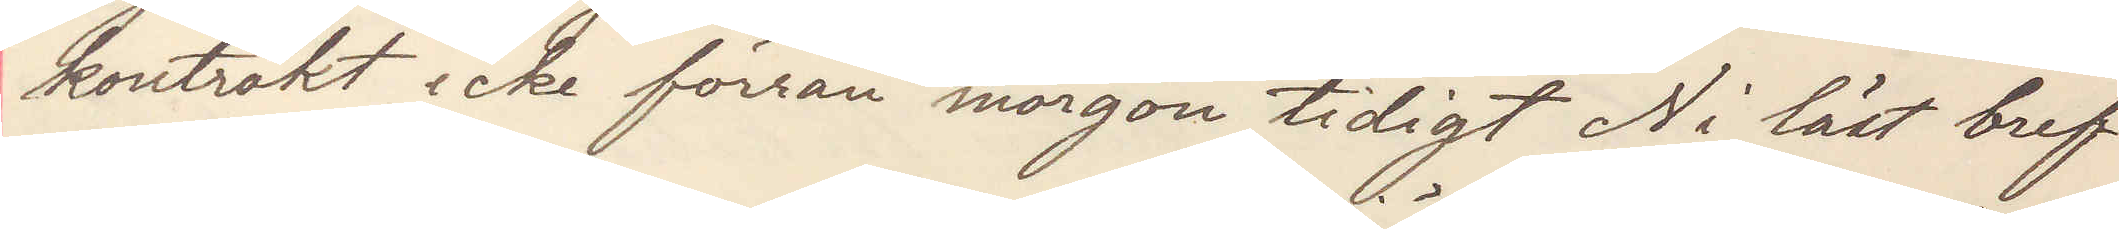kontrakt icke förrän morgon tidigt Ni läst bref
